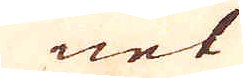net
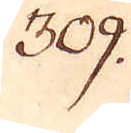309.
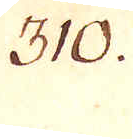310.
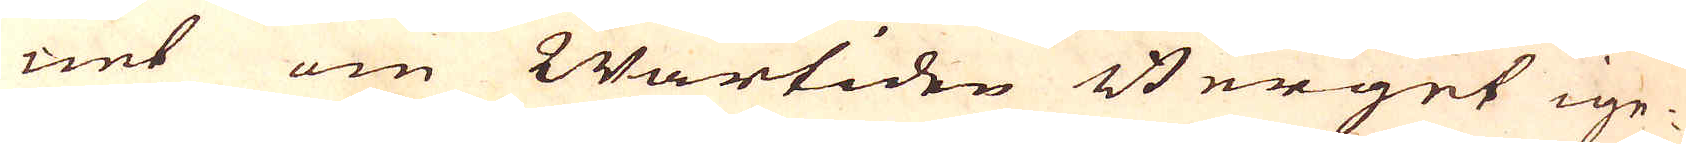net om Wårtiden Berget ige-
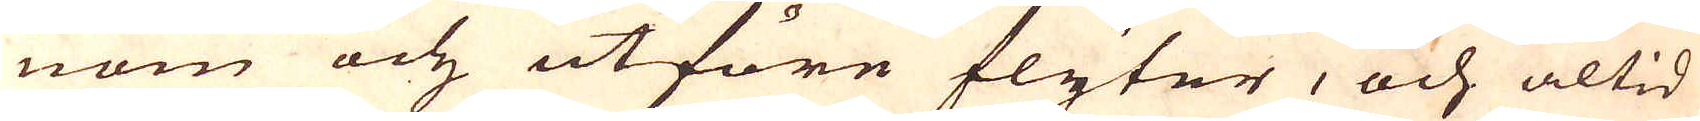nom och utföre flyter, och altid
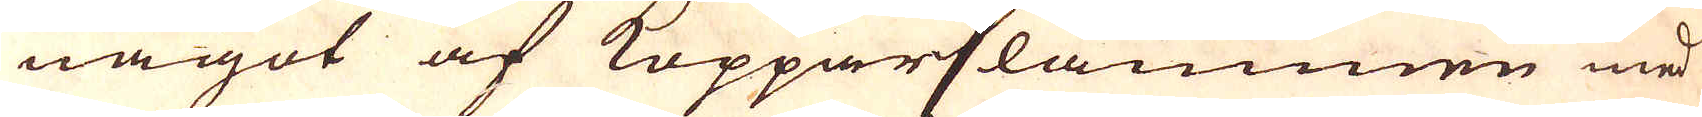något af Kopparslammen med
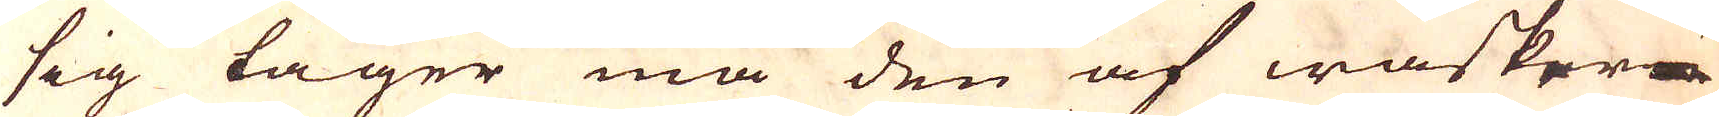sig tager må den af wasker-
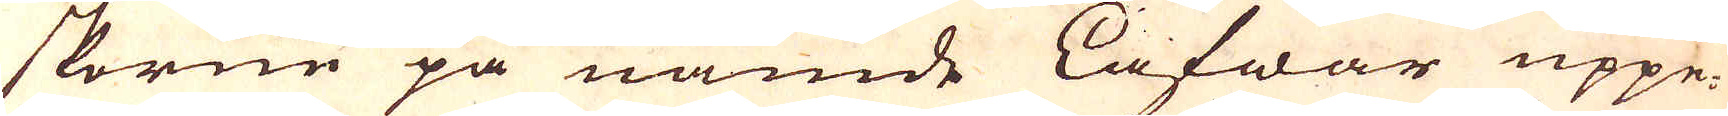skorne på nämde Lafwar uppe-
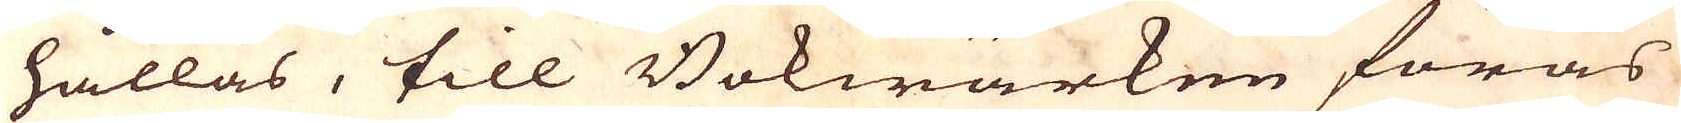hållas, till Bokwärken föras
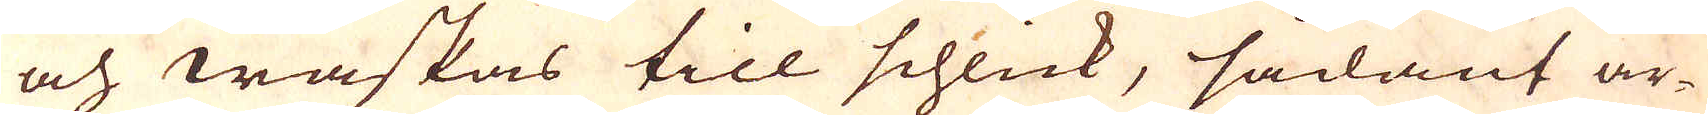och waskas till schlick, sådant ar-
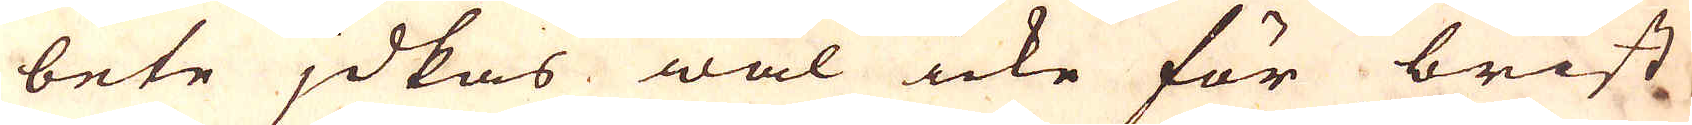bete jdkas wäl icke för brist
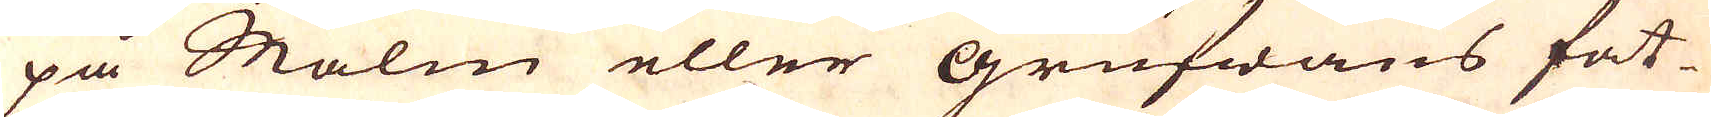på Malm eller grufwans fat-
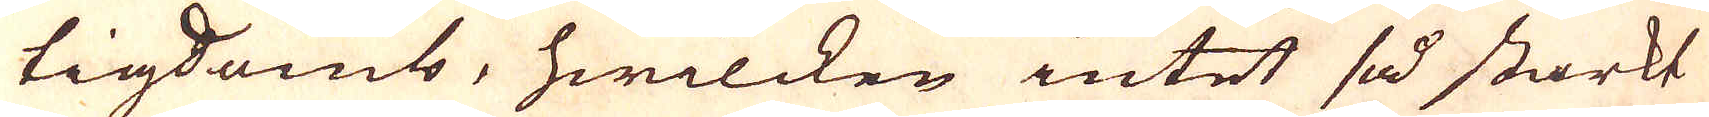tigdomb, hwilcken intet så starkt
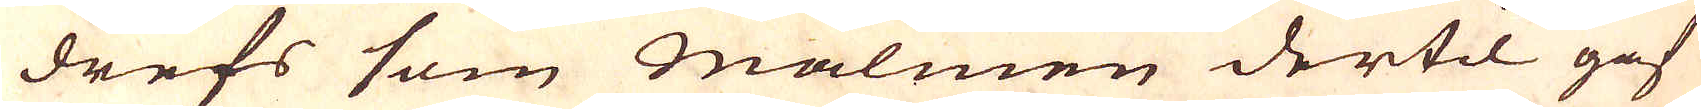drefs som Malmen dertil gaf
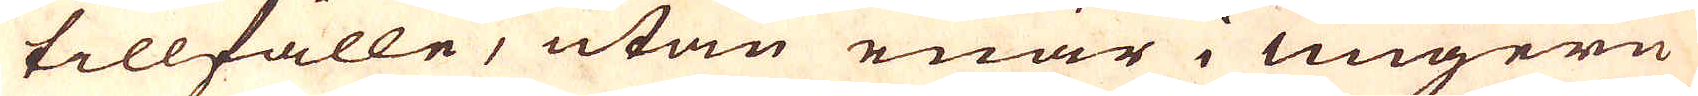tillfälle, utan enär i Ungern
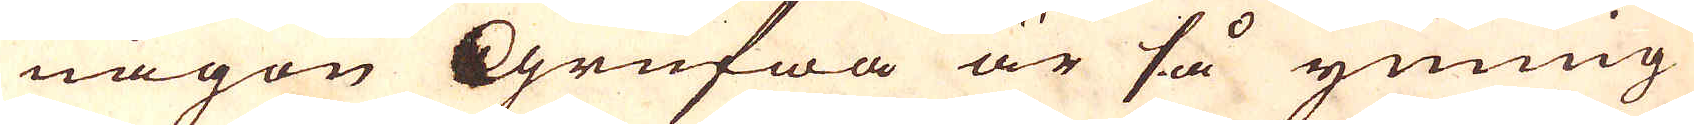någon Grufwa är så ymnig
